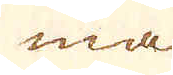ma
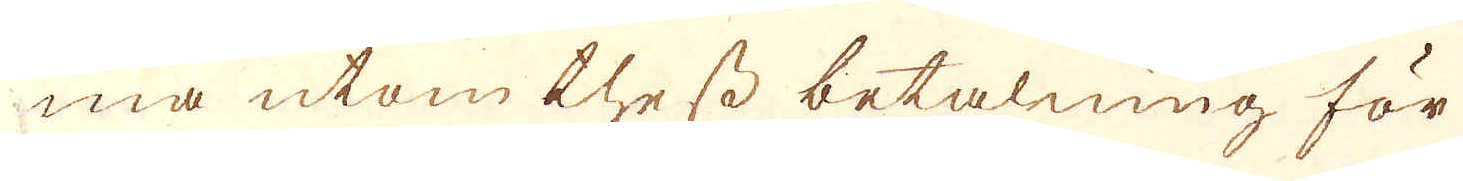ma utom thess betalning för
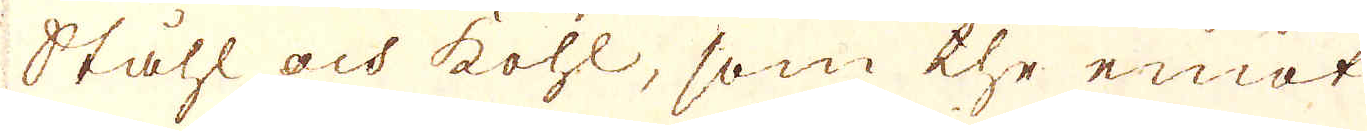Ståhl och kohl, som the emot
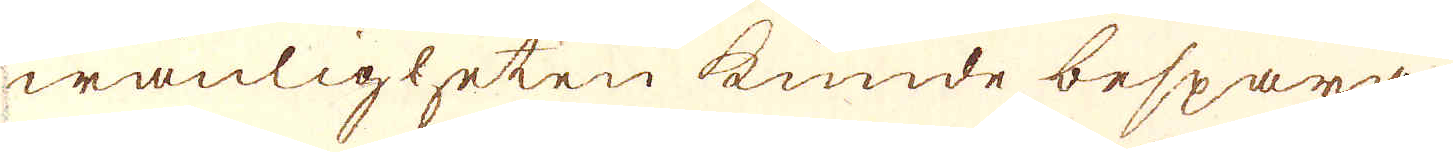wanligheten kunde bespara
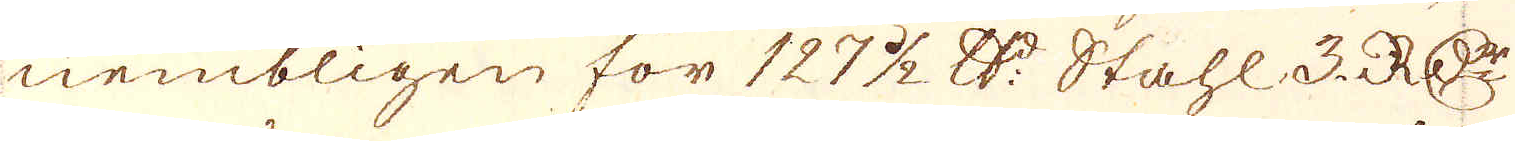nembligen för 127 1/2 r:Dr Stahl 3. R:Dr
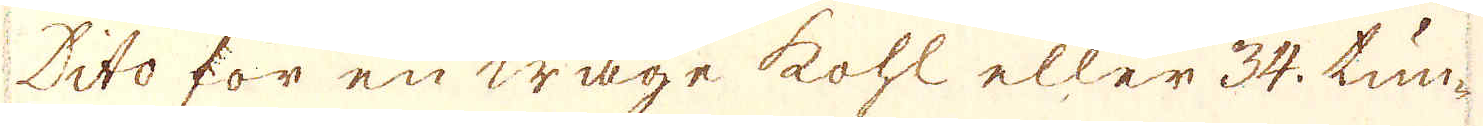Dito för en wage kohl eller 34. tun-
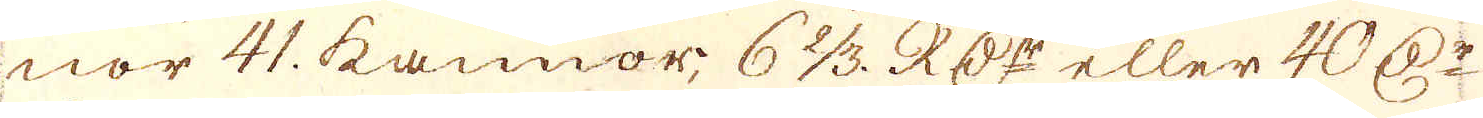nor 41. kannor 6 2/3. R:Dr eller 40 D:r
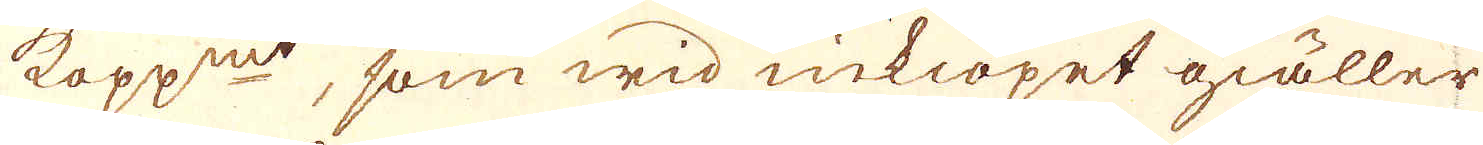kopp:mt, som wid inkiöpet giäller
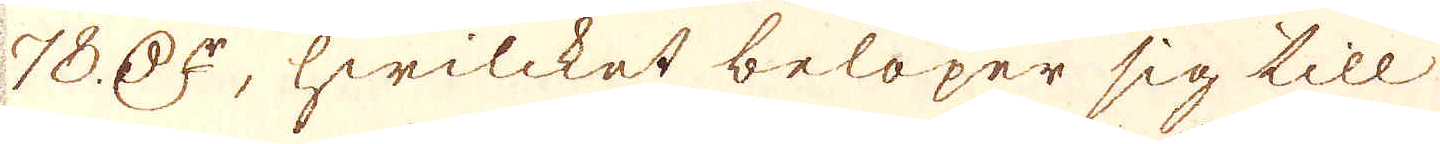78. D:r, hwilcket belöper sig till
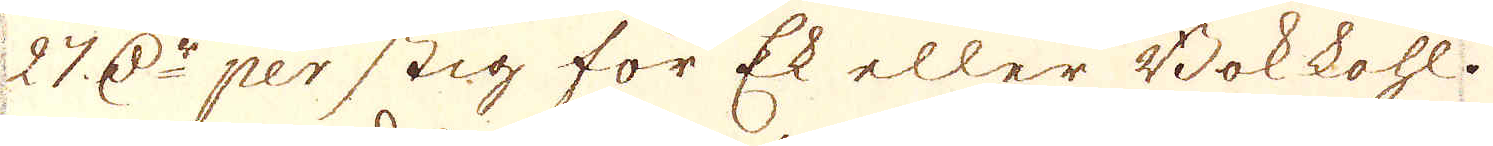27. r:Dr per stig för Ek eller Bokkohl.
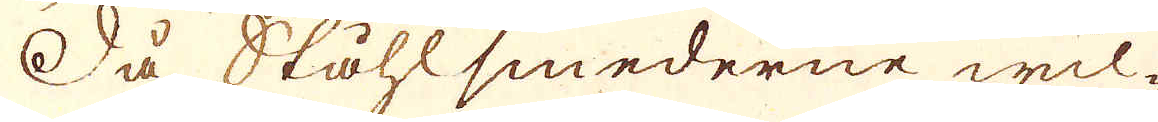Så Ståhlsmederne wil-
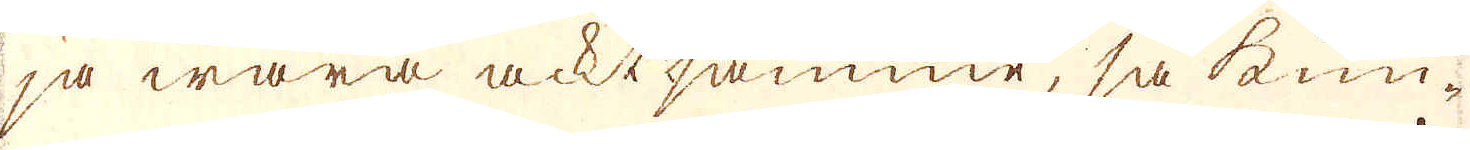ja wara acktsamme, så kun-
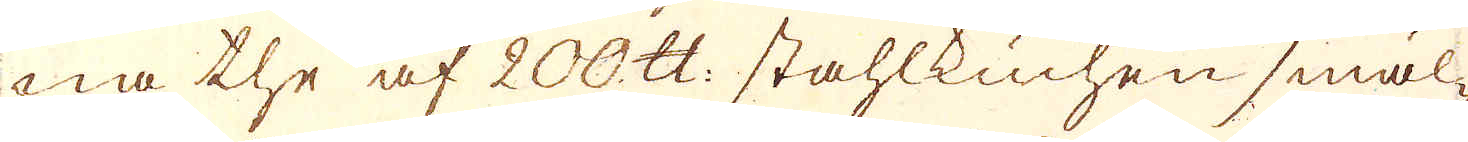na the af 200 skålpund stahlkuchen smäl-
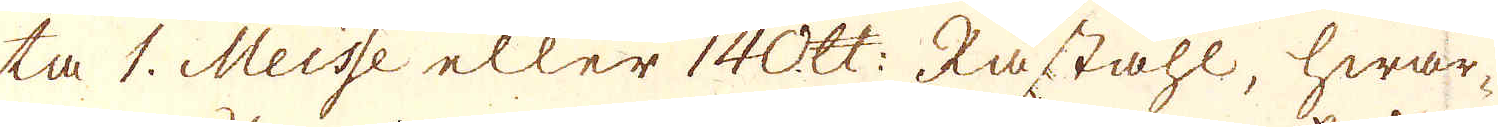ta 1. Meisse eller 140 skålpund: Råståhl, hwar-
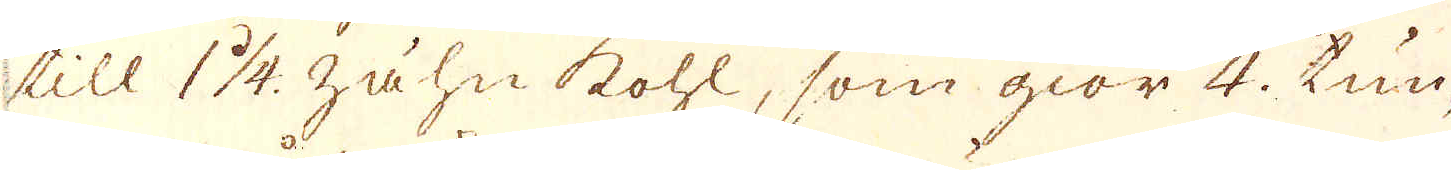till 1 1/4. zähn kohl, som giör 4. tun-
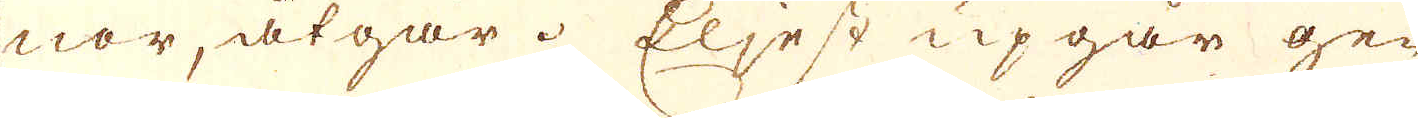nor, åtgår. Eljest upgår ge-
